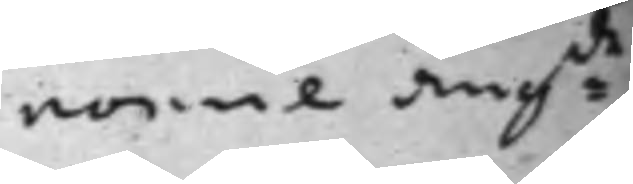nomie ang:de
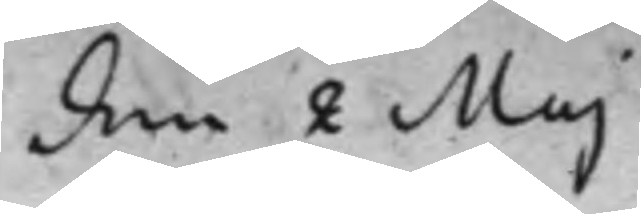den 2 Maj
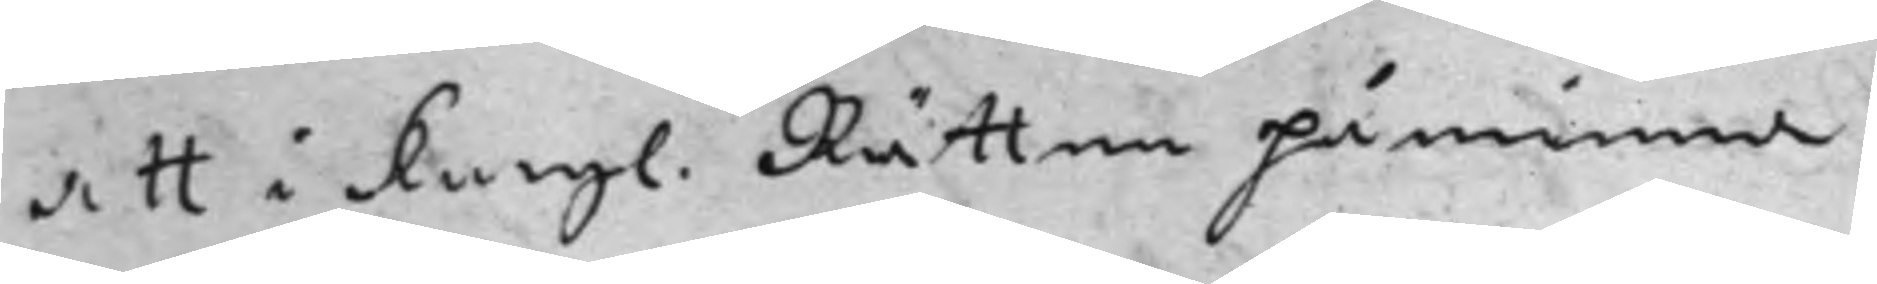att i Kongl. Rätten påminna
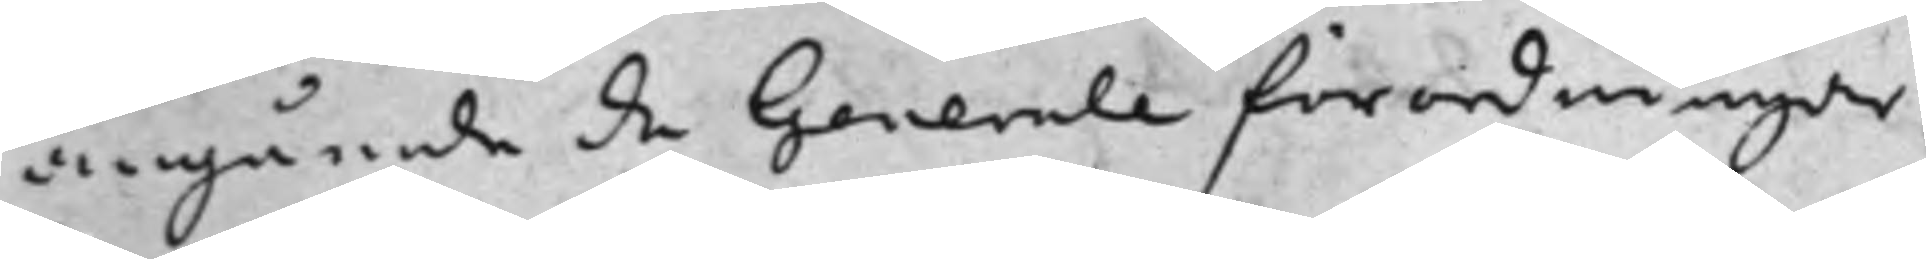angående de Generale förordningar
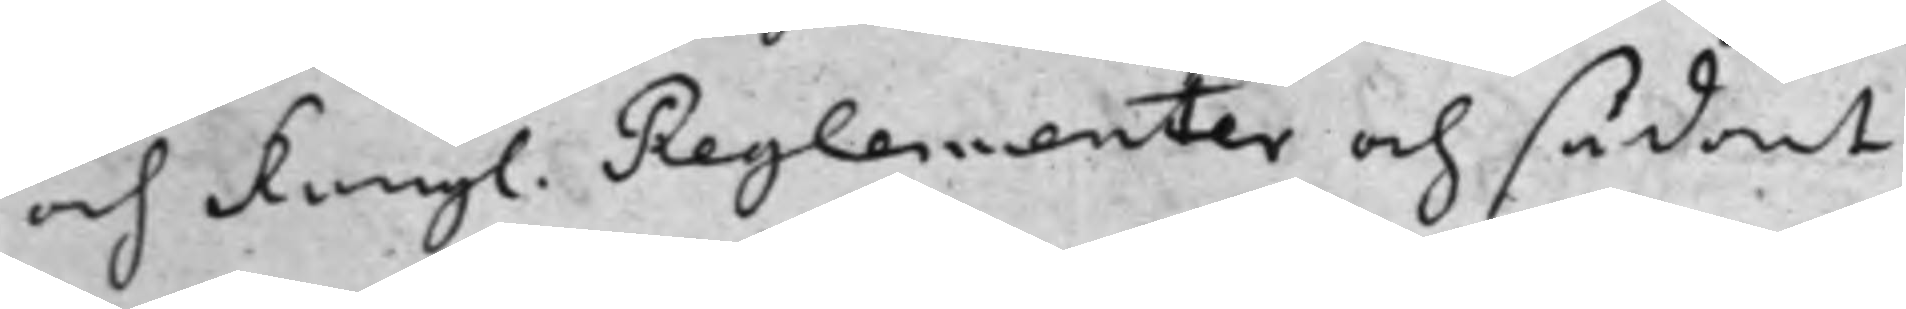och Kongl. Reglementer och sådant
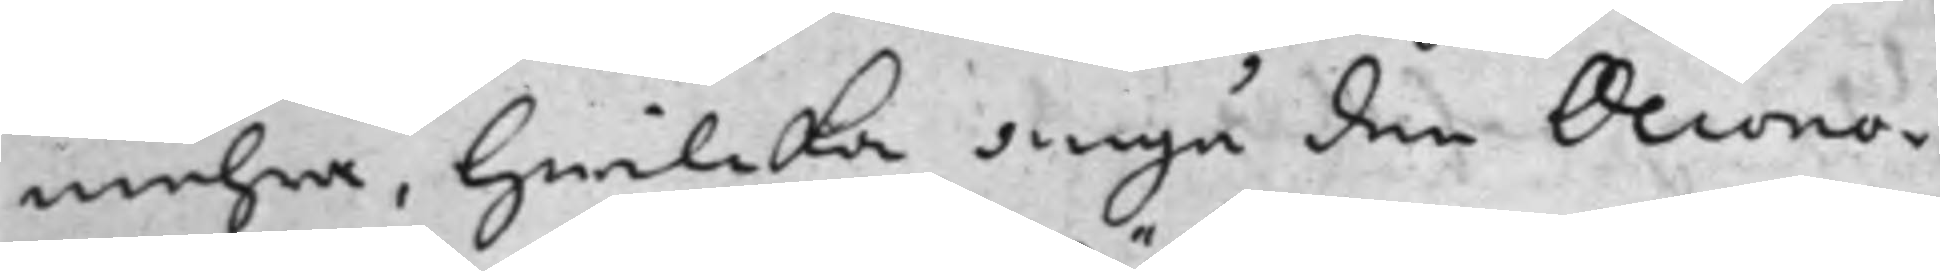mehra, hwilcka angå den Oecono¬
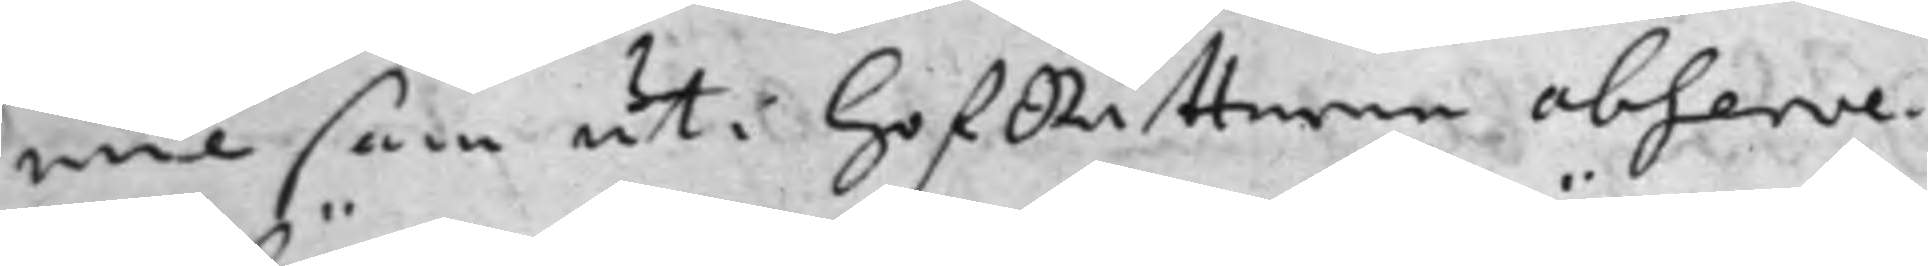mie som uti HofRätterne observe¬
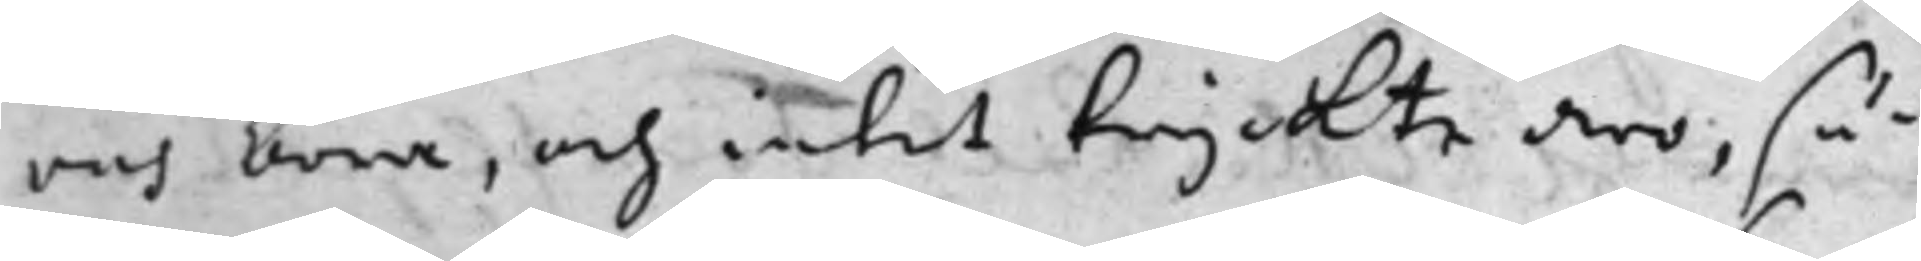ras böra, och intet tryckte äro, så¬
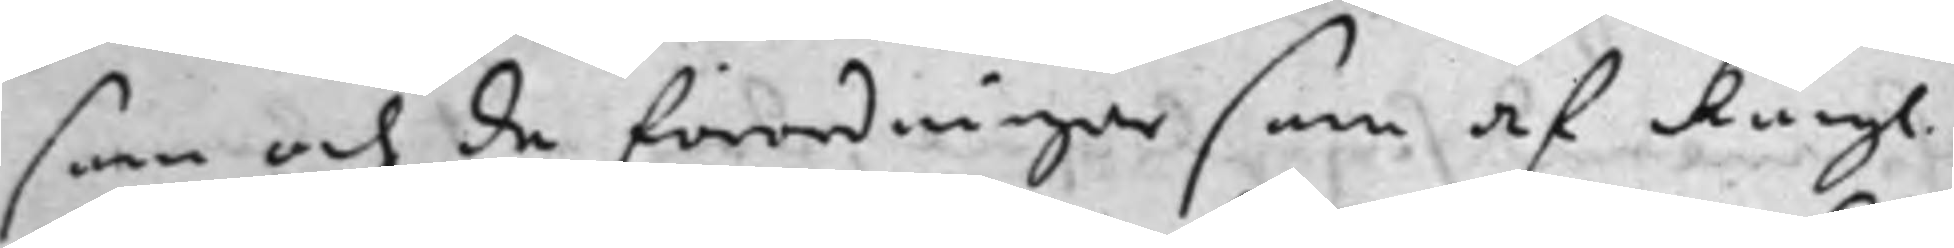som och de förordningar som af Kongl.
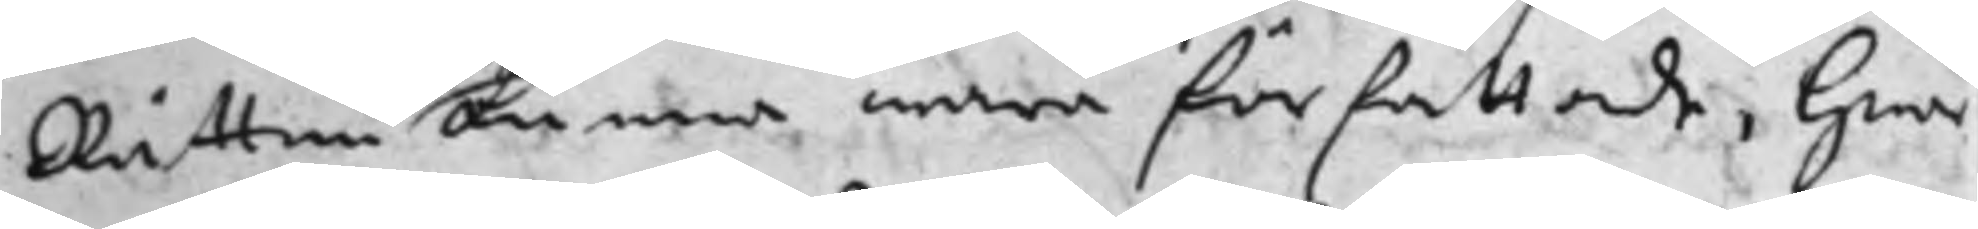Rätten kunna wara författade, hwar
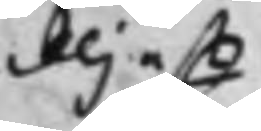eljest
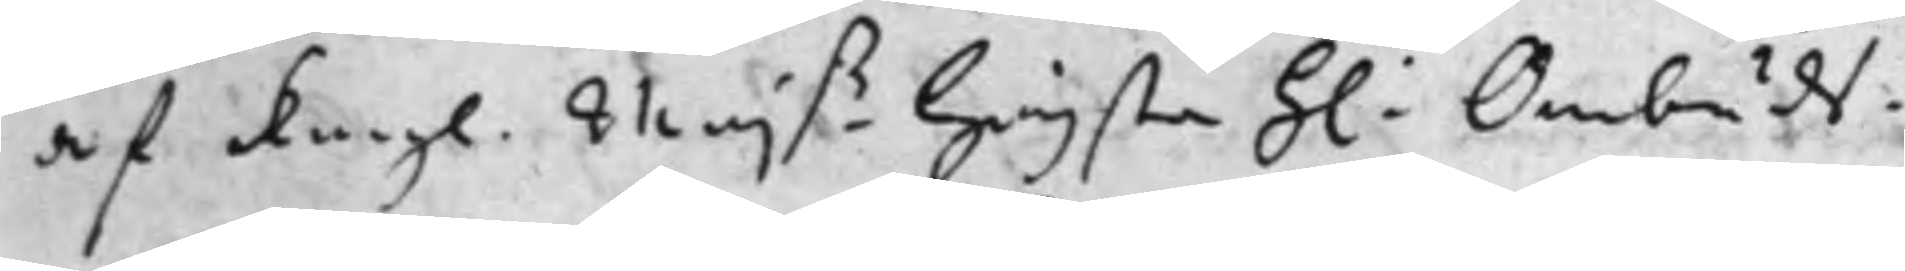af Kongl. Maj.tz Högsta h: Ombuds¬
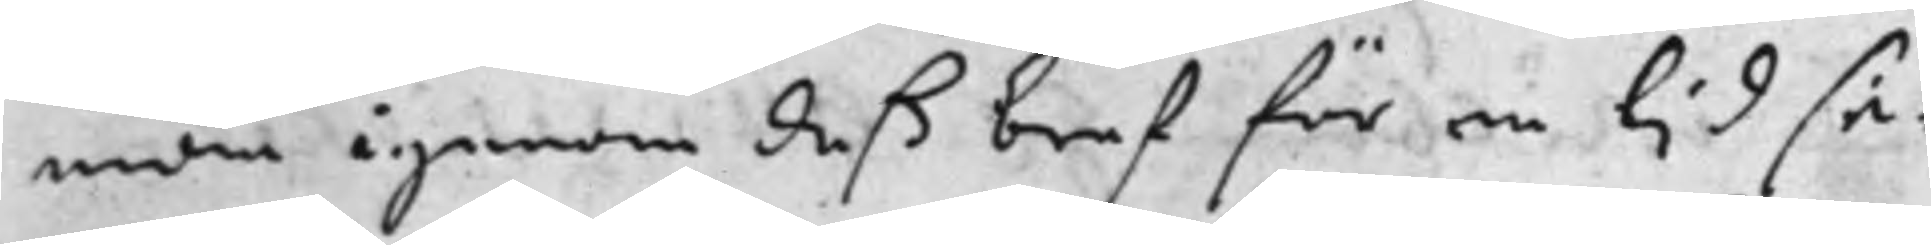man igenom deß bref för en tjd se¬
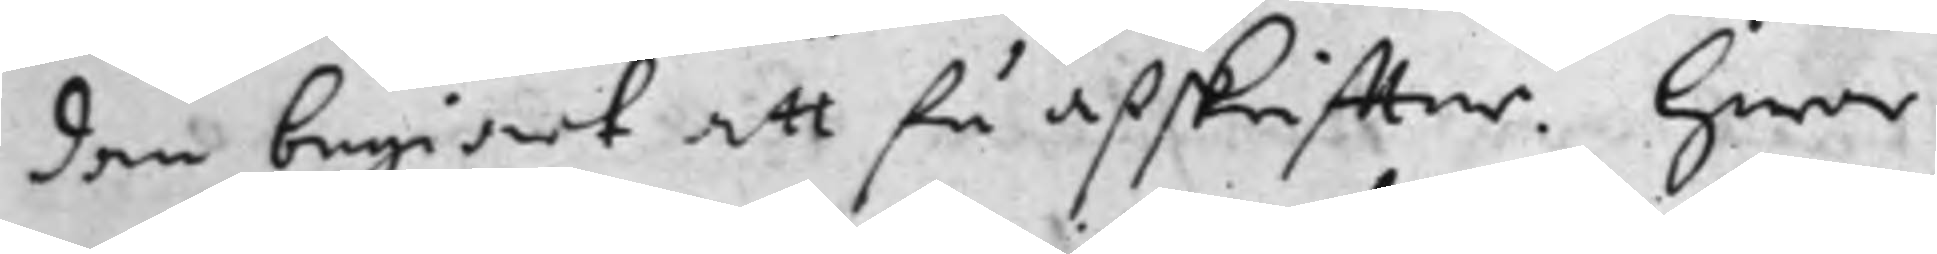dan begiärt att få afskriffter. Hwar
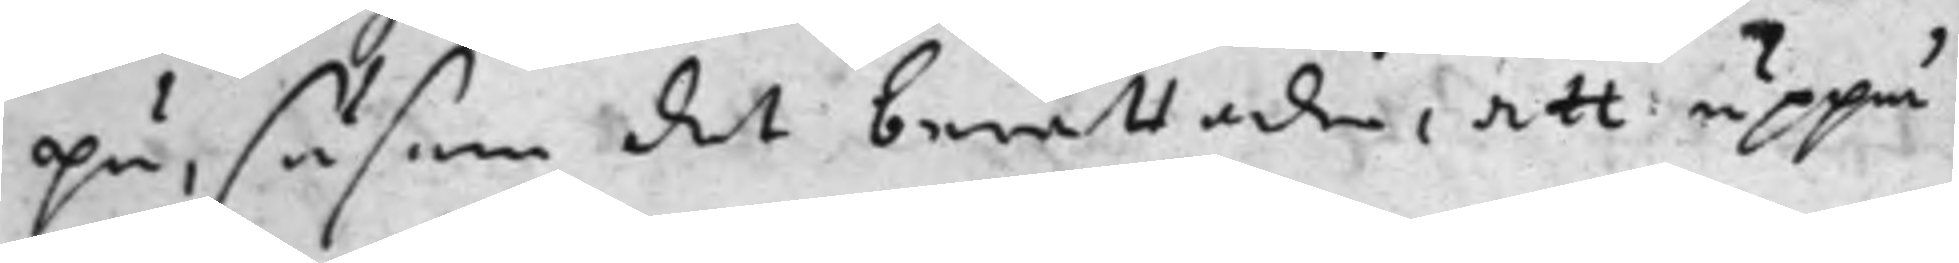på, såsom det berättades, att uppå
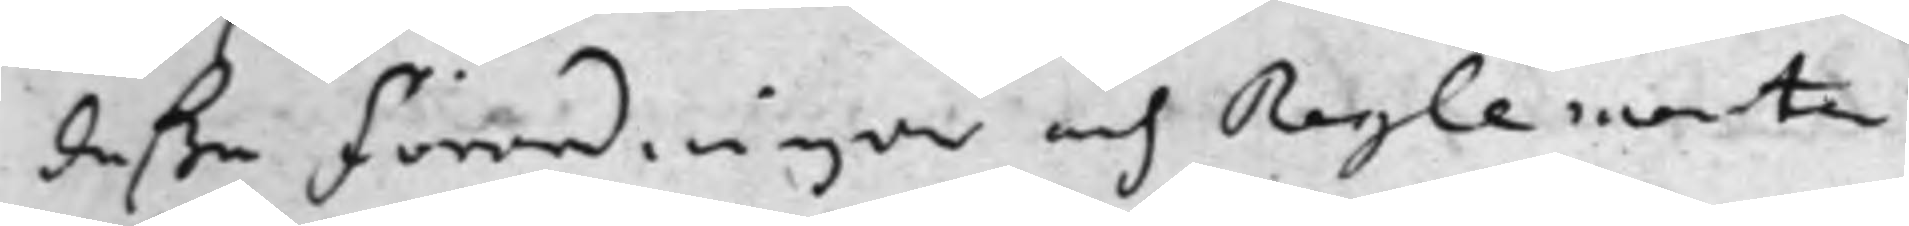deße Förordningar och Reglementen
